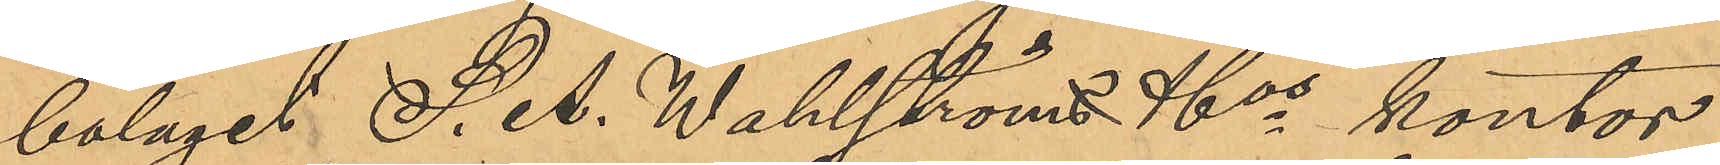bolaget S. A. Wahlströms & Cos kontor
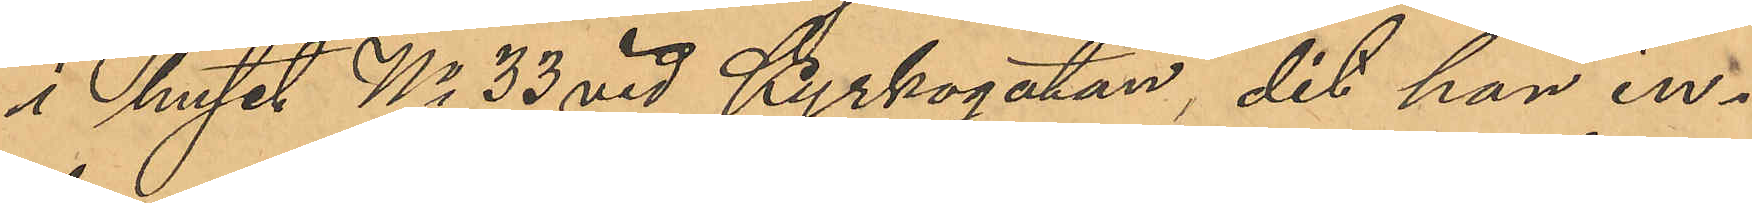i huset No 33 vid Kyrkogatan, dit han in¬
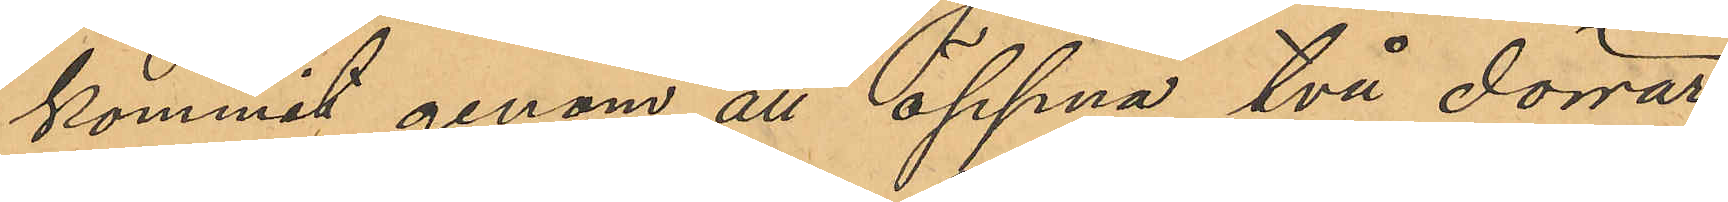kommit genom att öppna två dörrar,
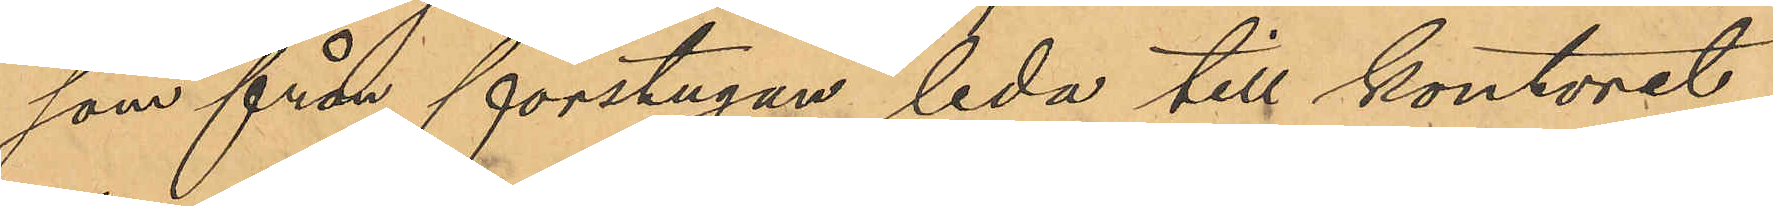som från förstugan leda till kontoret,
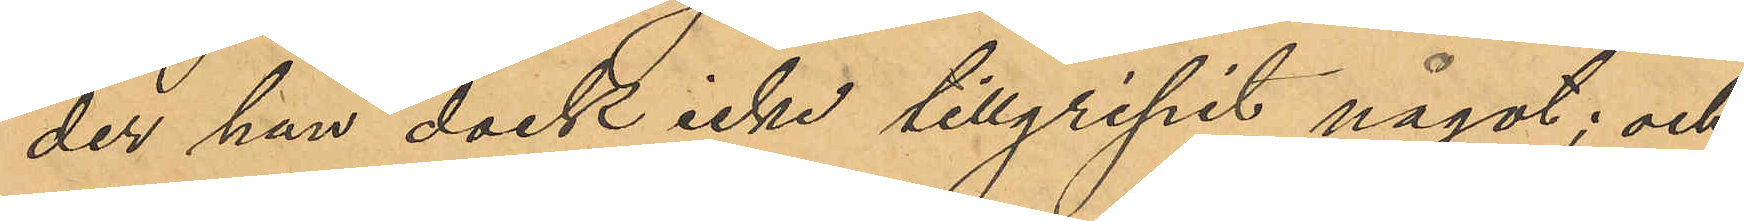der han dock icke tillgripit något; och
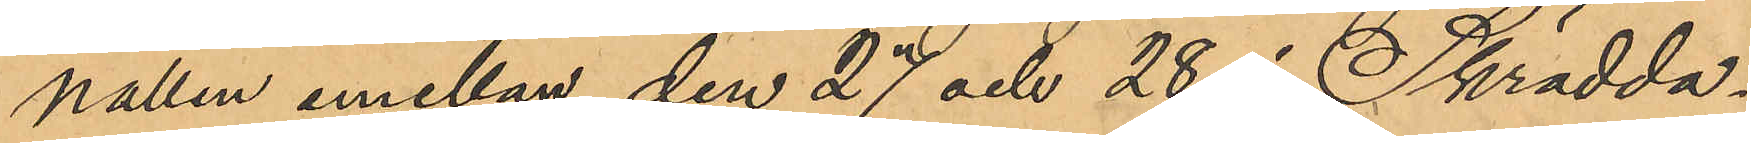nallen emellan den 27 och 28 i Skrädda¬
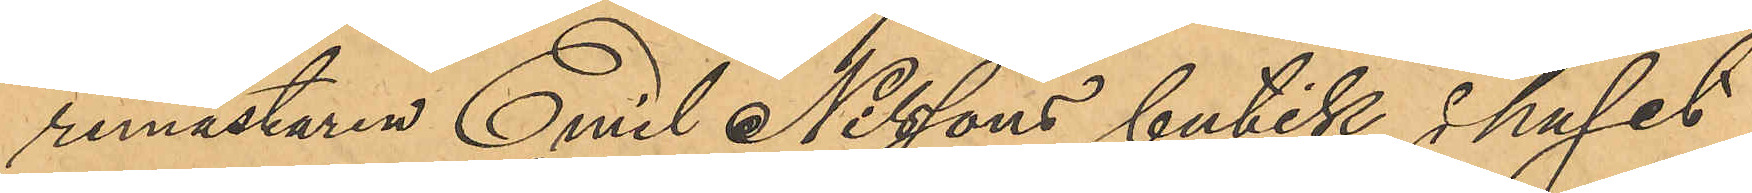remästaren Emil Nilssons butik i huset
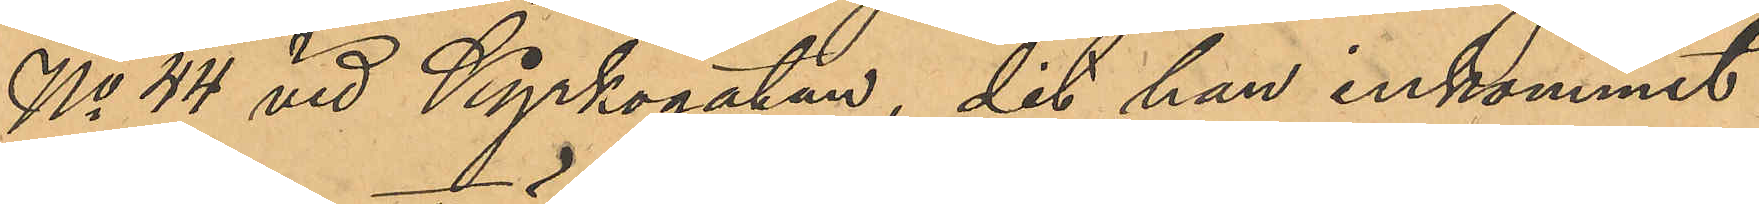No 44 vid Kyrkogatan, dit han inkommit
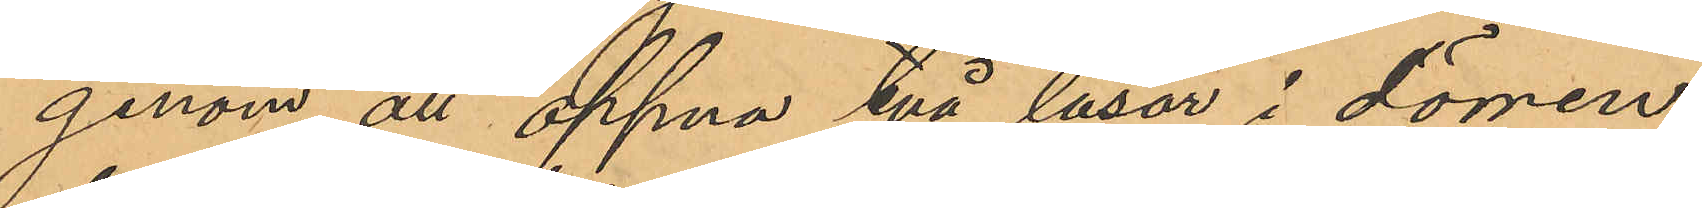genom att öppna två låsor i dörren,
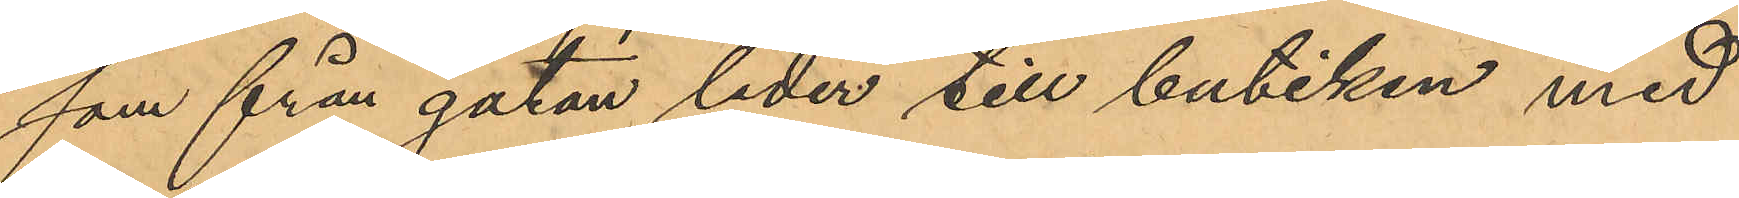som från gatan leder till butiken med
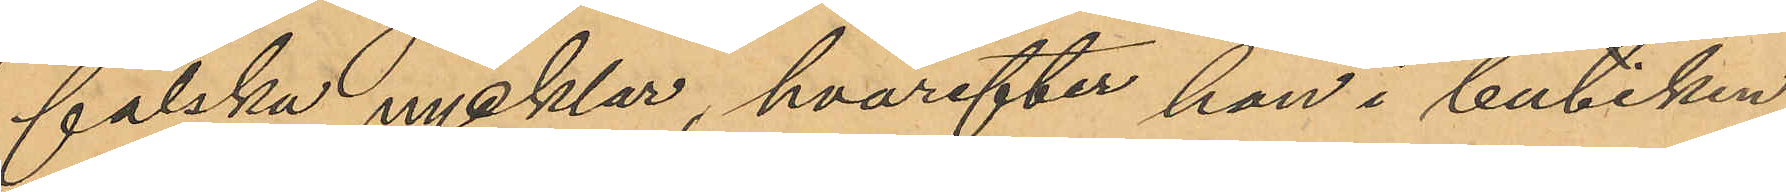falska nycklar, hvarefter han i butiken
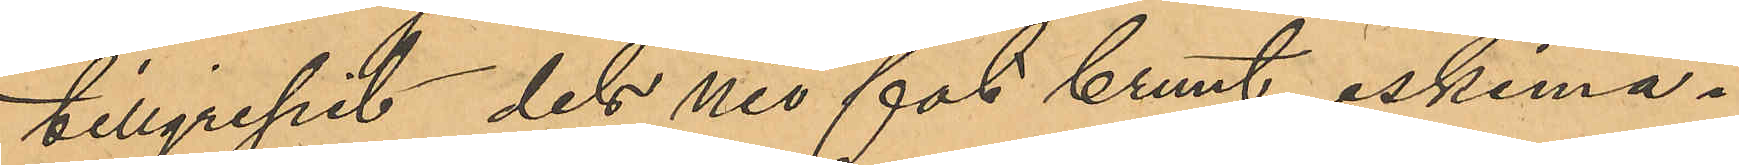tillgripit dels nio fat brunt eskimå¬
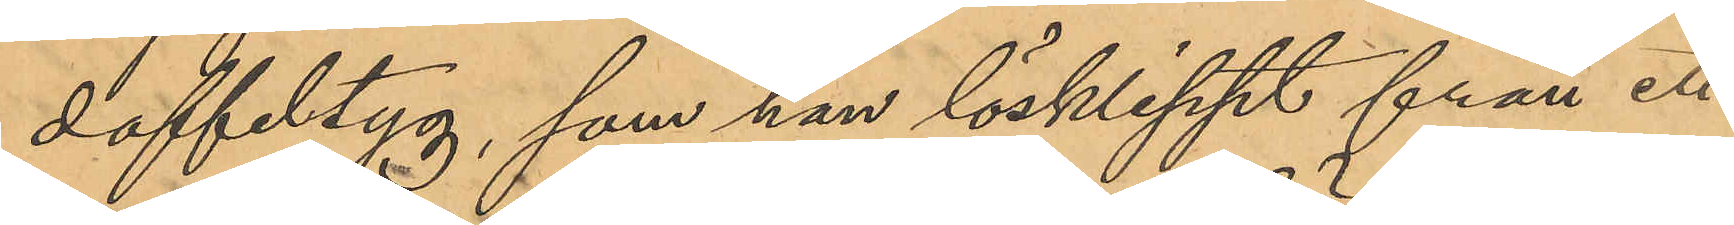doffeltyg, som han lösklippt från ett
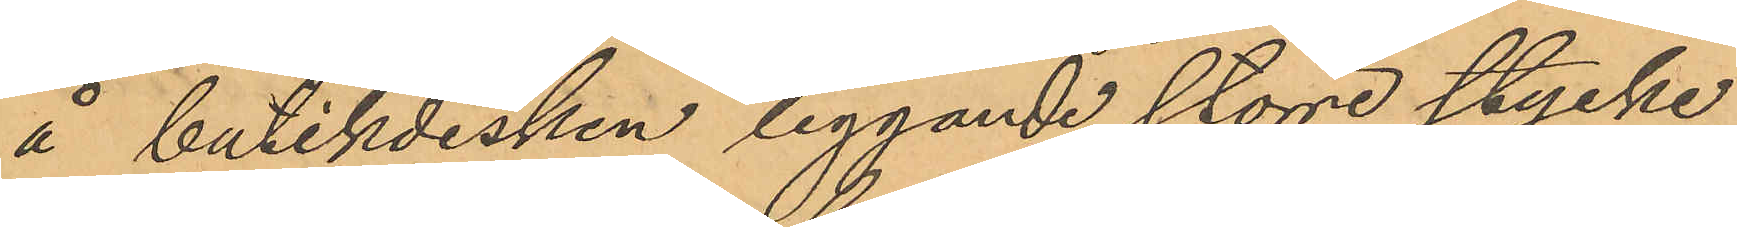å butikdisken liggande större stycke
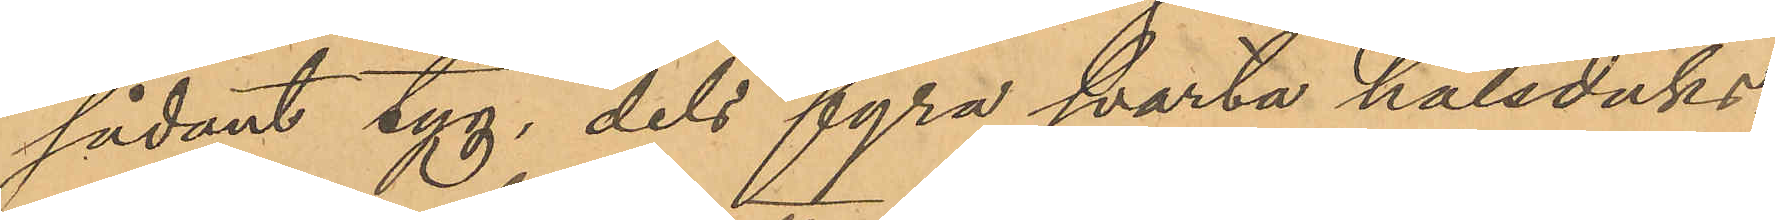sådant tyg, dels fyra svarta halsduks¬
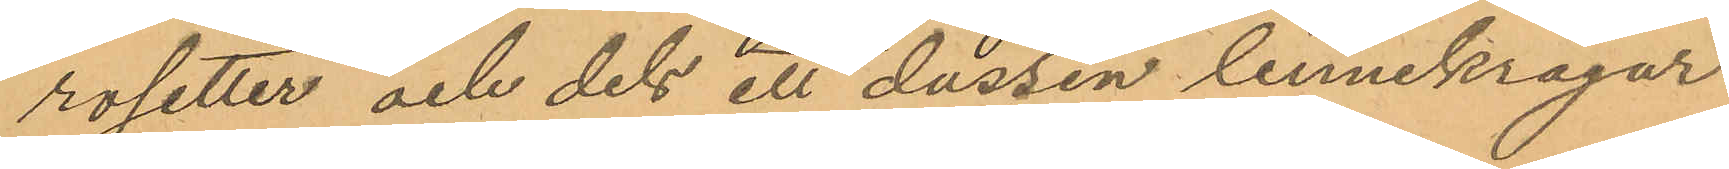rosetter och dels ett dussin linnekragar
